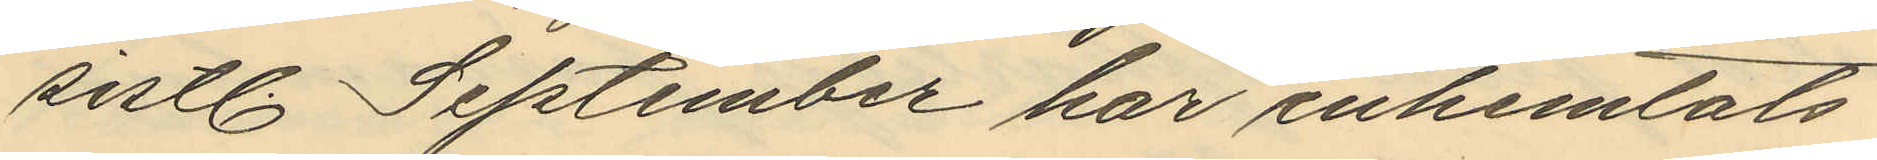sistl September har inhemtats
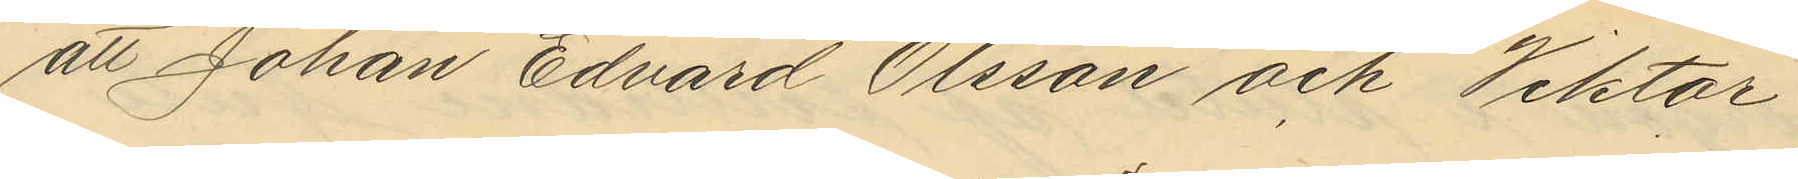att Johan Edvard Olsson och Viktor
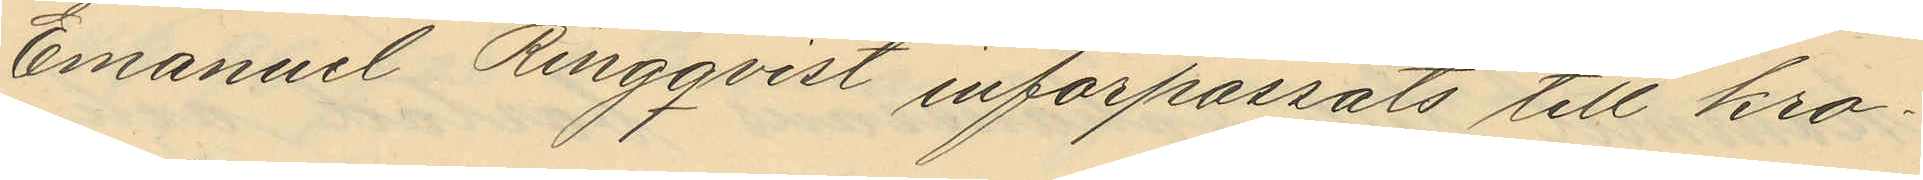Emanuel Ringqvist införpassats till kro¬
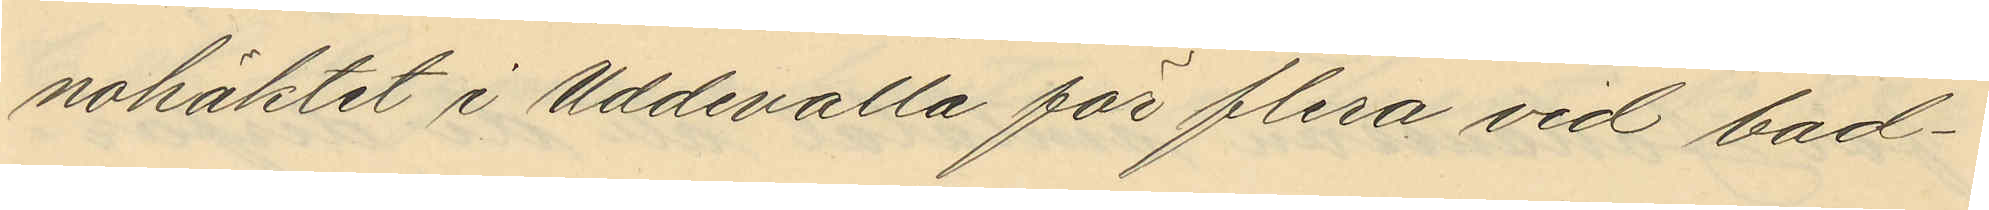nohäktet i Uddevalla för flera vid bad¬
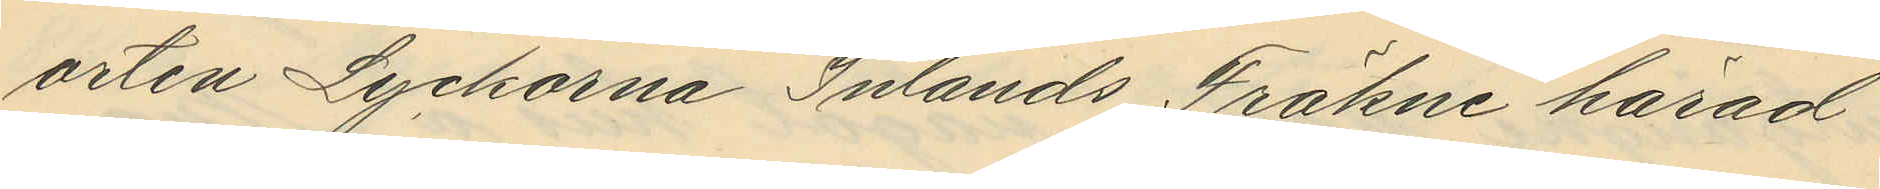orten Lyckorna Inlands Fräkne härad
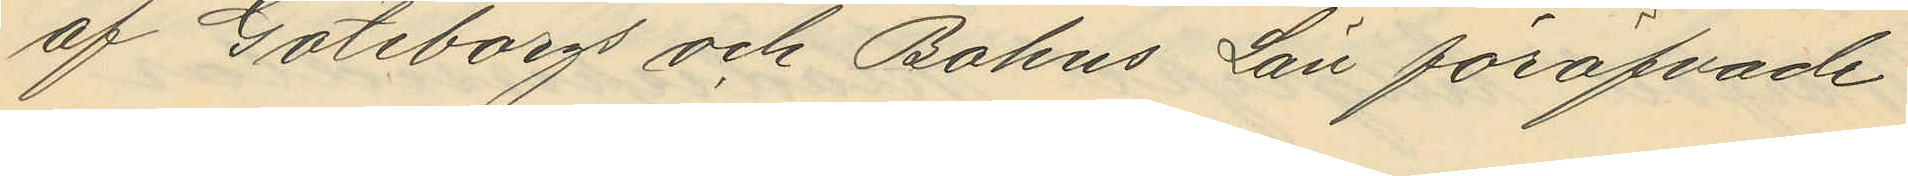af Göteborgs och Bohus Län föröfvade
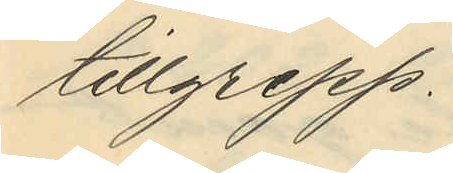tillgrepp.
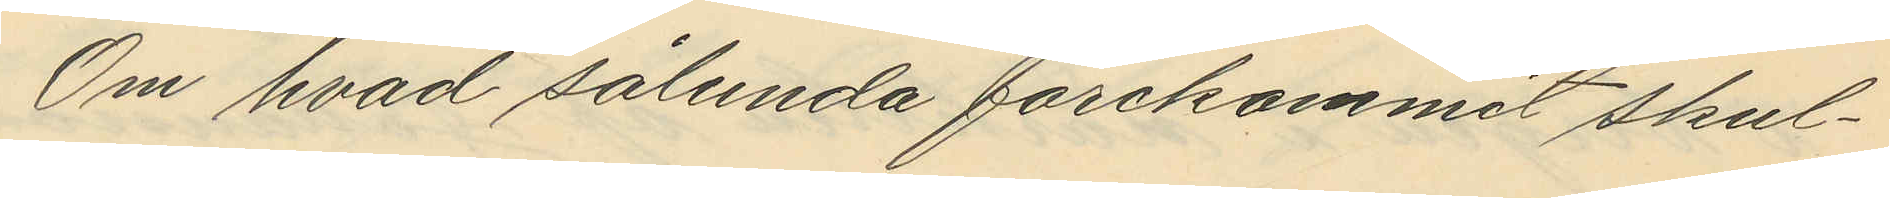Om hvad sålunda förekommit skul¬
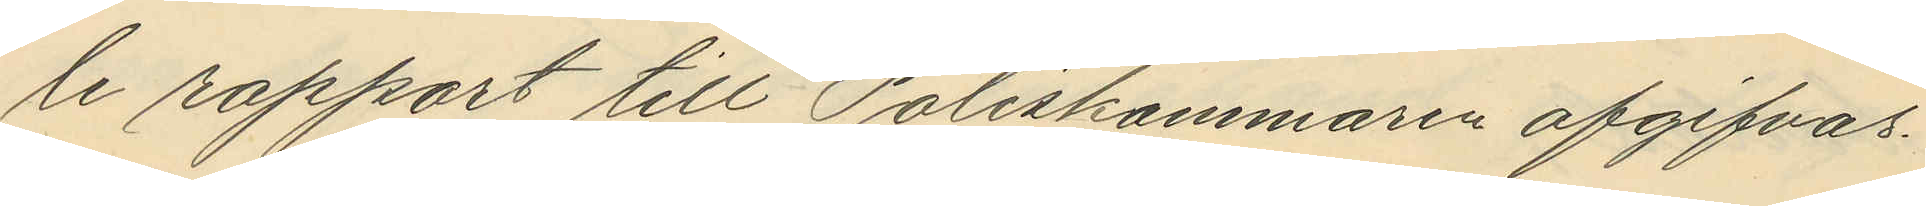le rapport till Poliskammaren afgifvas.
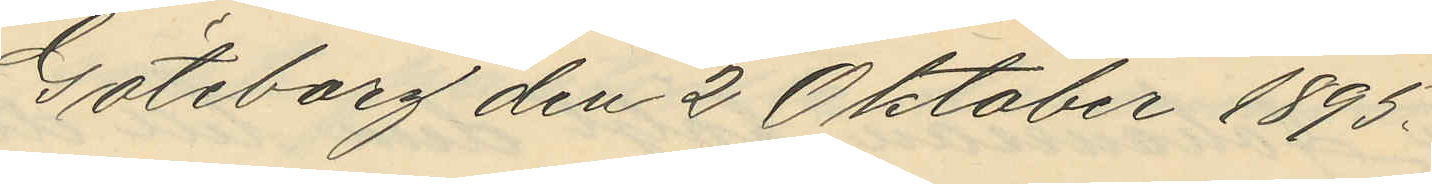Göteborg den 2 Oktober 1895.
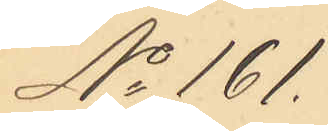No 161.
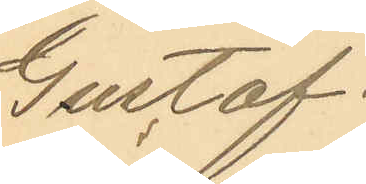Gustaf
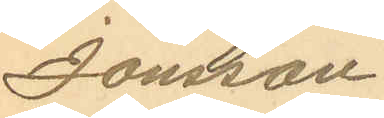Jönsson
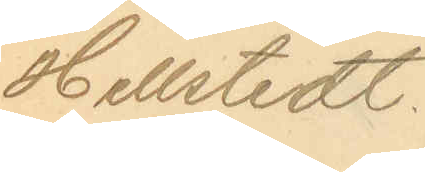Hellstedt
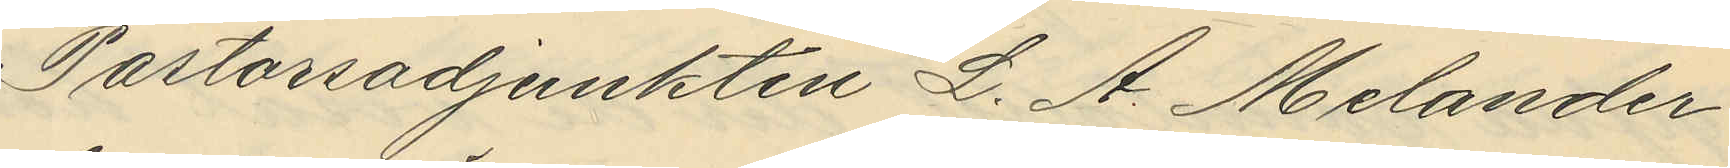Pastorsadjunkten L. A. Melander
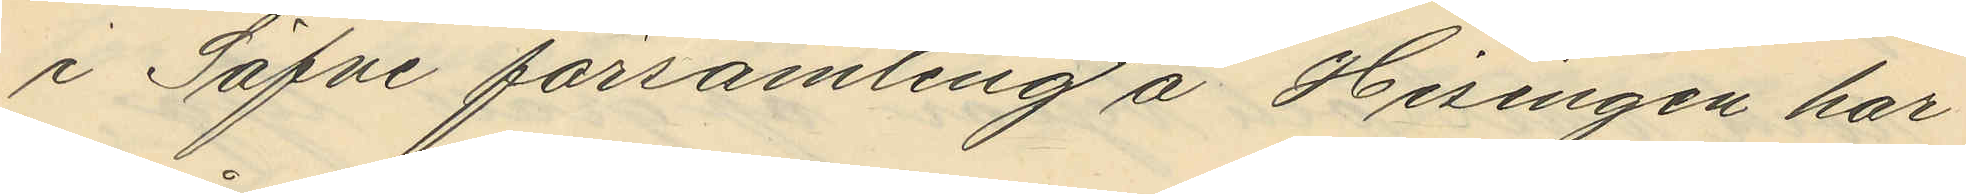i Säfve församling å Hisingen har
